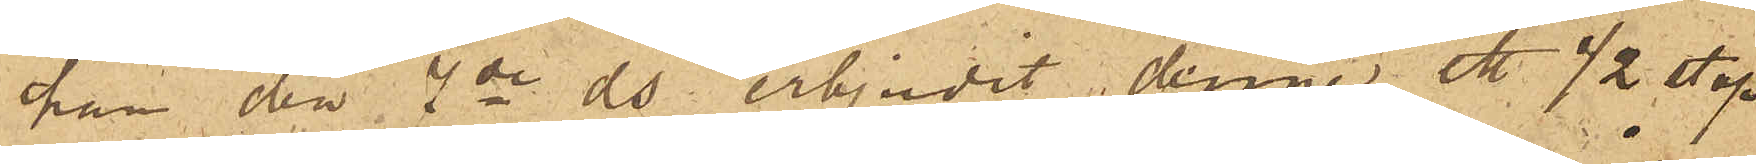han den 7de ds erbjudit denne ett ½ stop
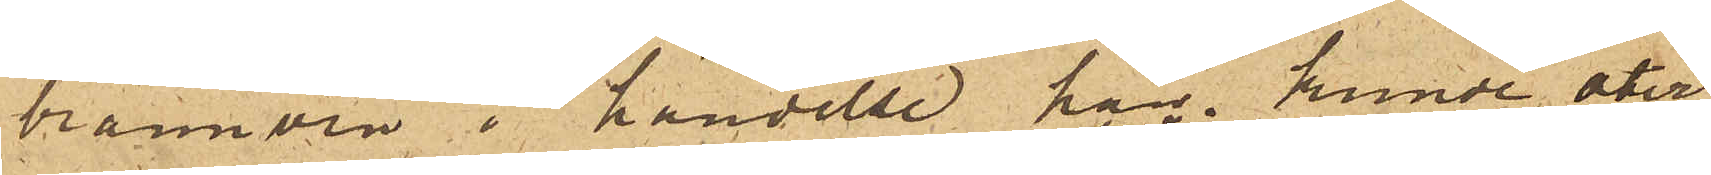brännvin i händelse han kunde åter¬
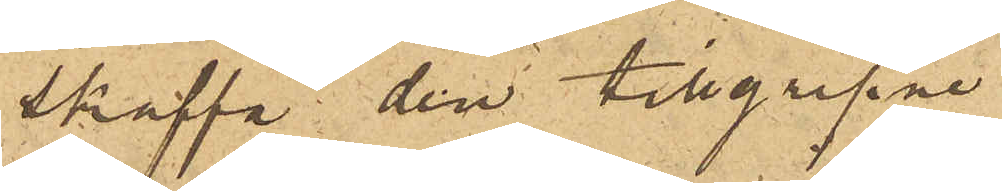skaffa den tillgripne
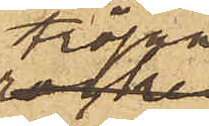tröjan;
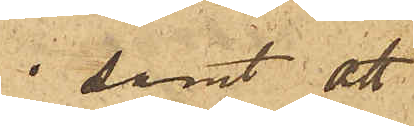samt att
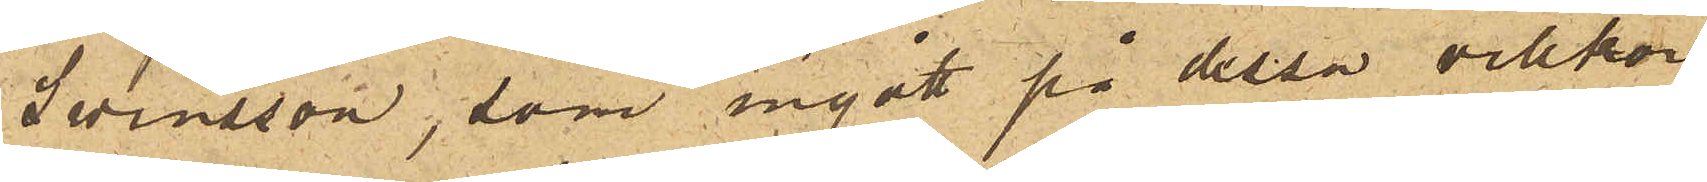Swensson, som ingått på dessa villkor,
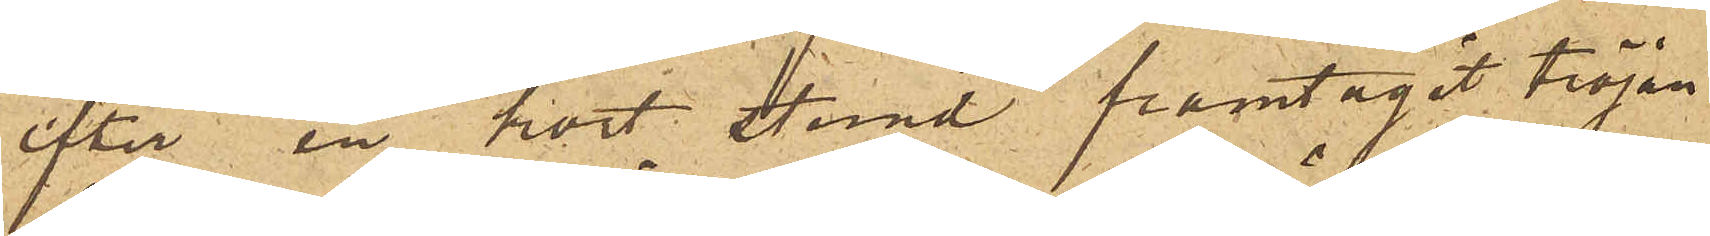efter en kort stund framtagit tröjan
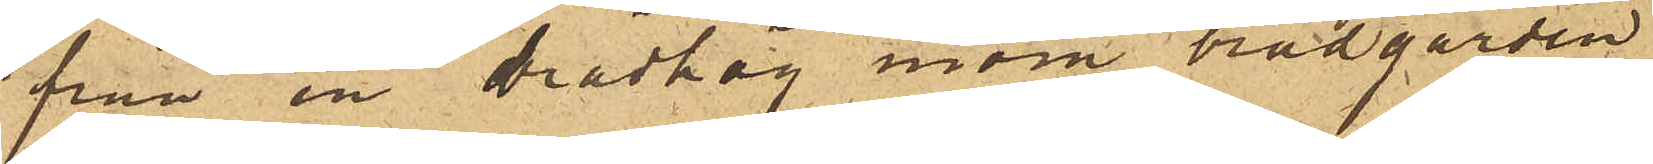från en brädhög inom brädgården
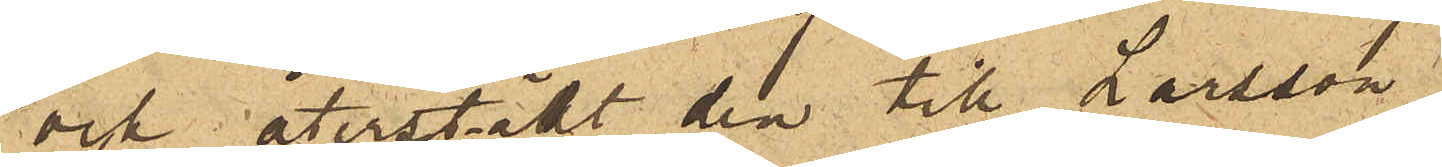och återställt den till Larsson.
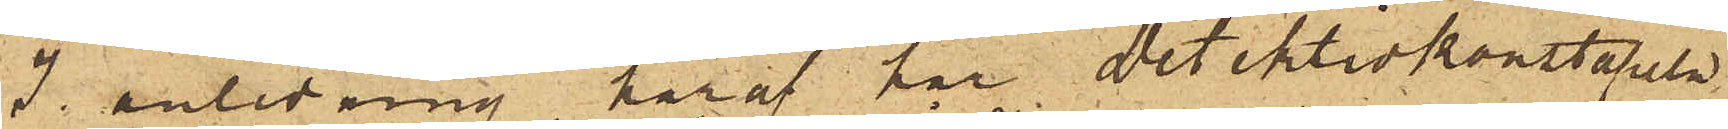I anledning häraf har Detektivkonstapeln
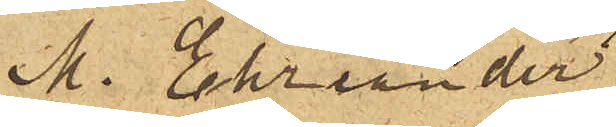M. Ehriander
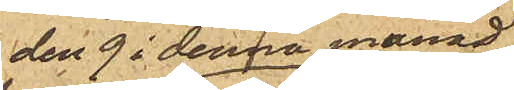den 9 i denna månad
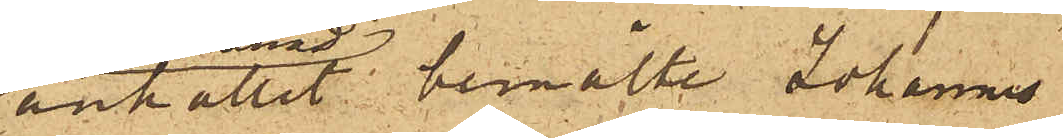anhållit bemälte Johannes
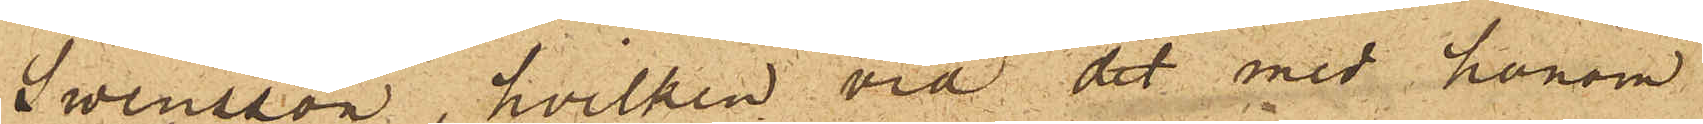Swensson, hvilken vid det med honom
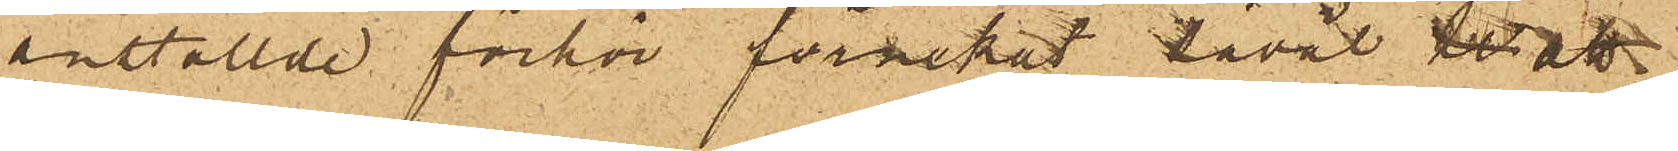anställde förhör förnekat såväl tr att
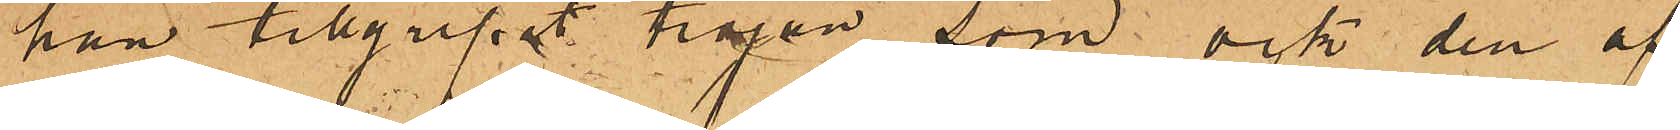han tillgripit tröjan, som ock den af
